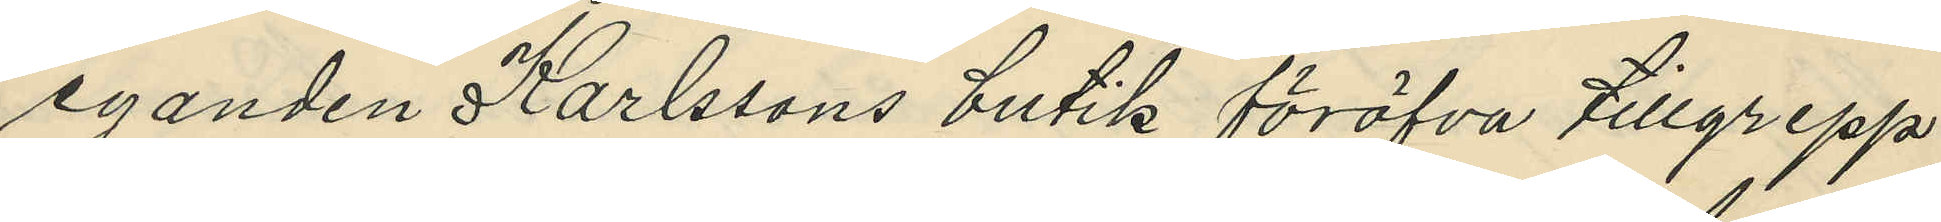eganden Karlssons butik föröfva tillgrepp
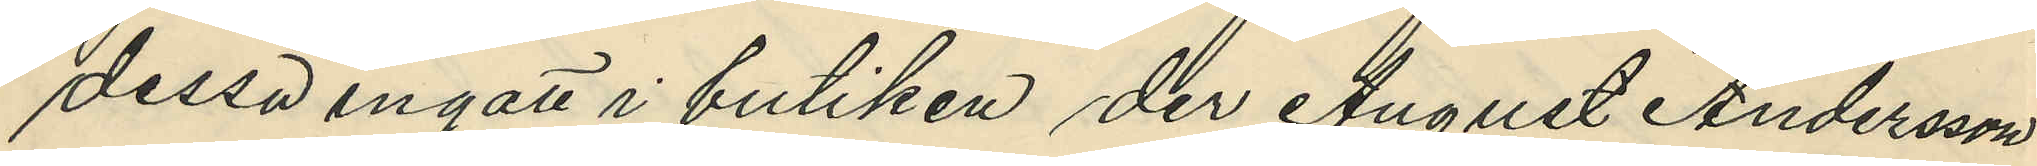dessa ingatt i butiken der August Andersson
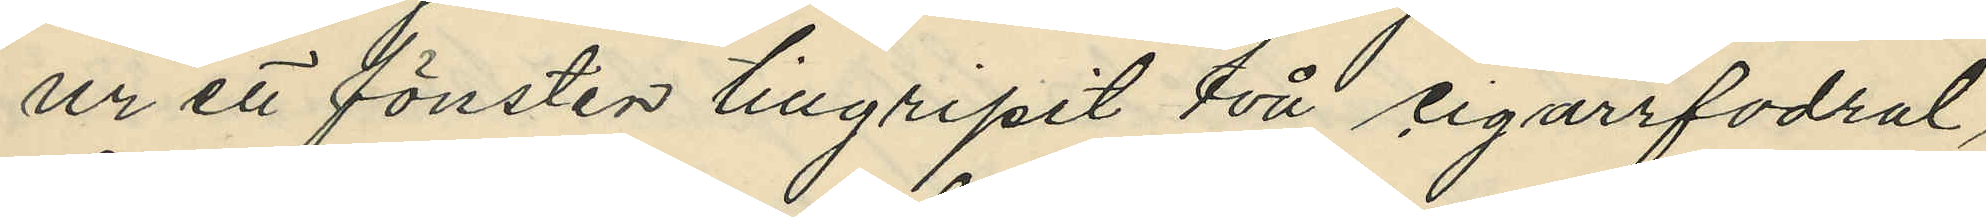ur ett fönster tillgripit två cigarrfodral,
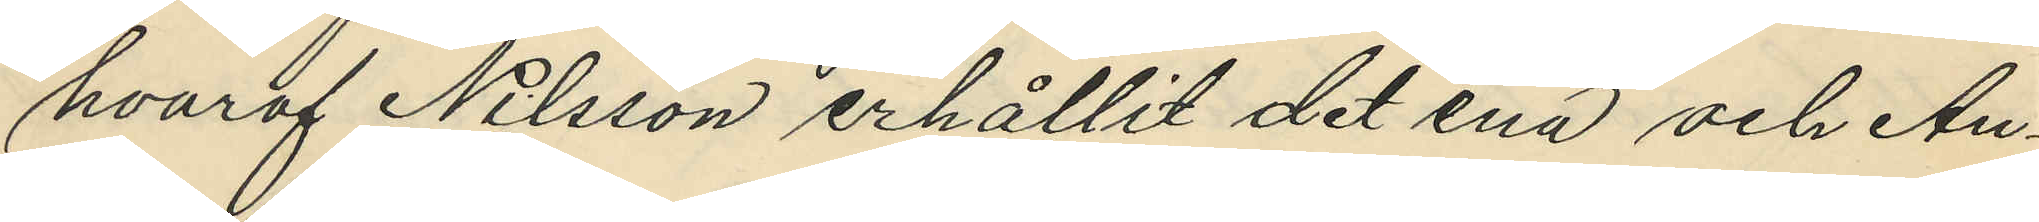hvaraf Nilsson erhållit det ena och Au¬
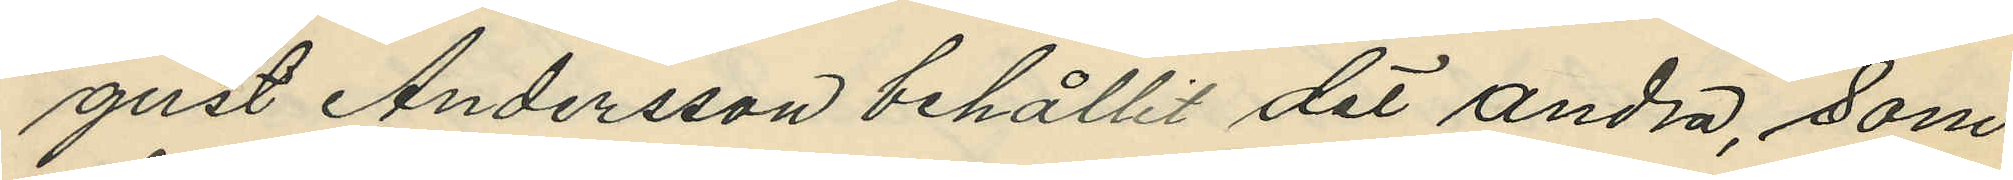gust Andersson behållit det andra, som
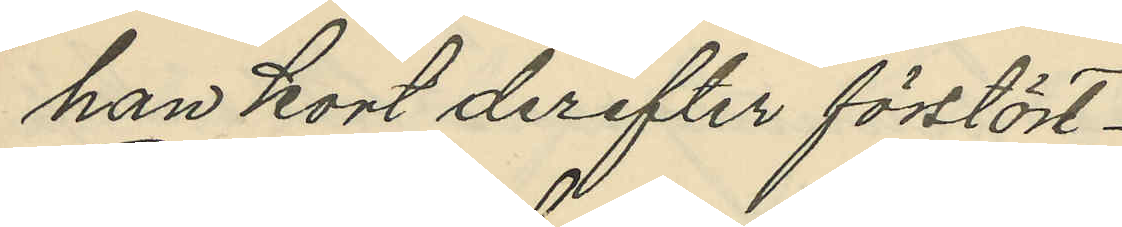han kort derefter förstört.
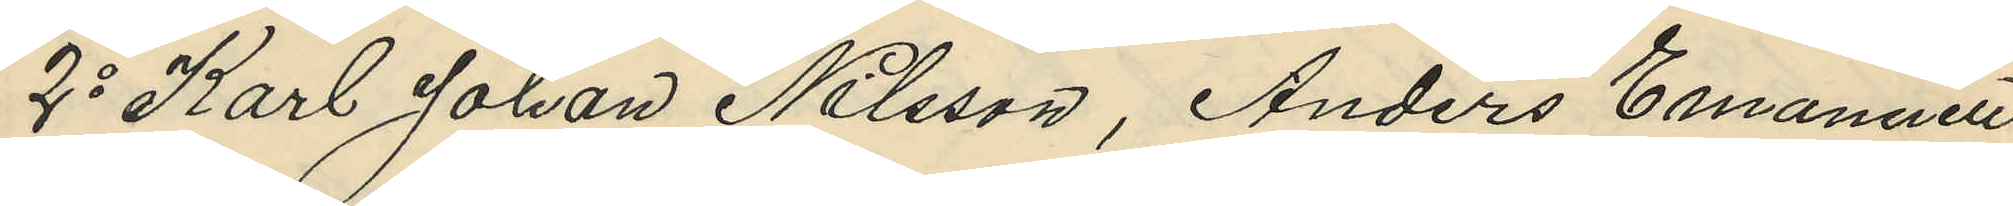2o Karl Johan Nilsson, Anders Emanuell
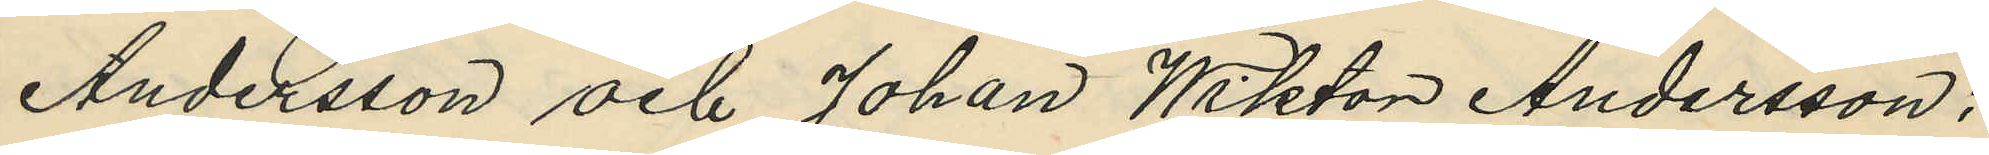Andersson och Johan Wiktor Andersson;
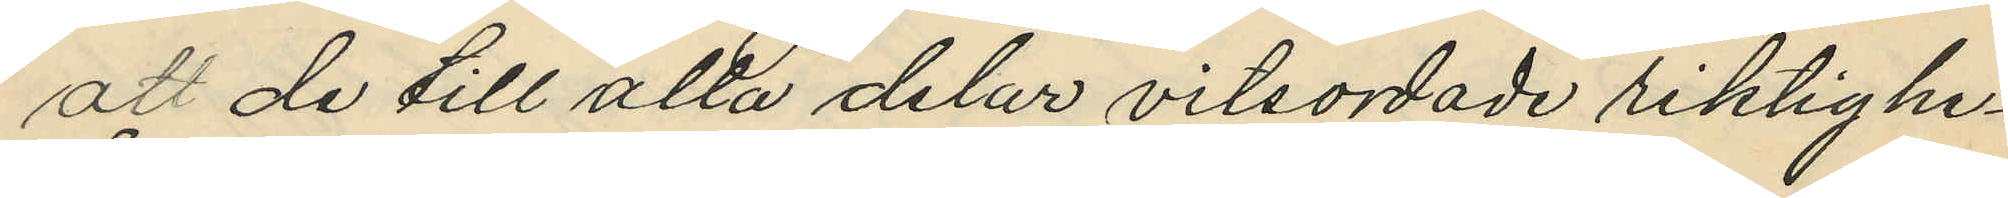att de till alla delar vitsordade riktighe¬
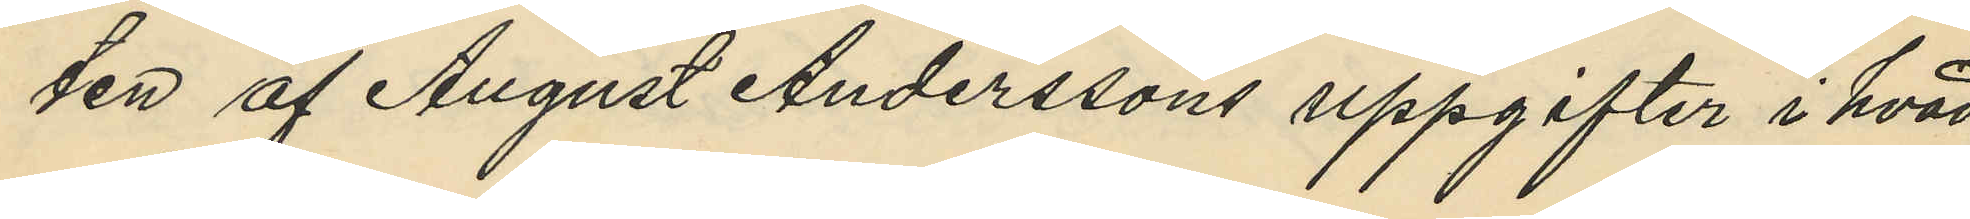ten af August Anderssons uppgifter i hvad
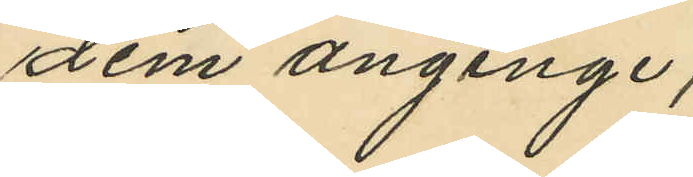dem anginge;
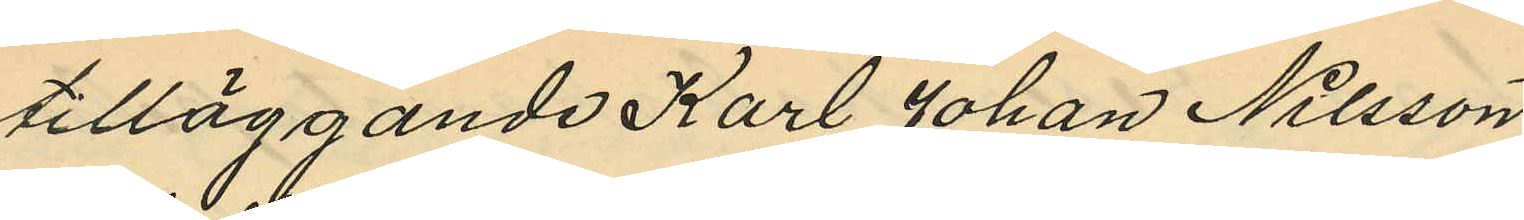tilläggande Karl Johan Nilsson
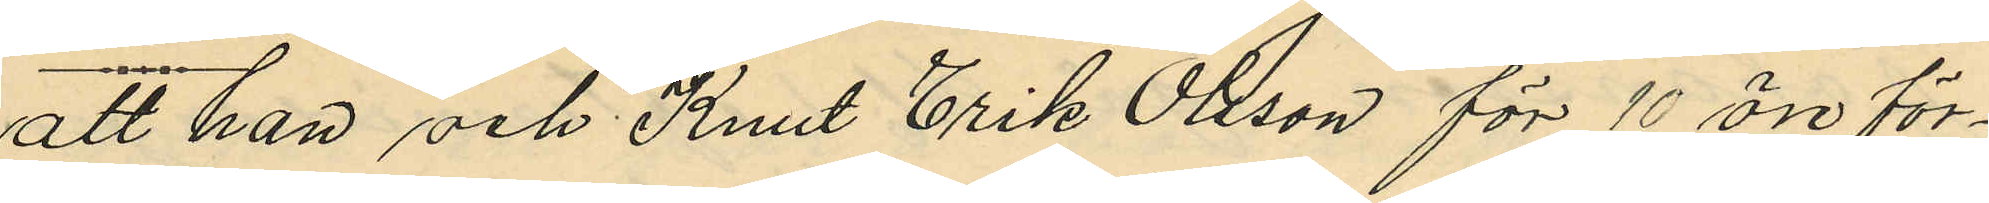att han och Knut Erik Olsson för 10 öre för¬
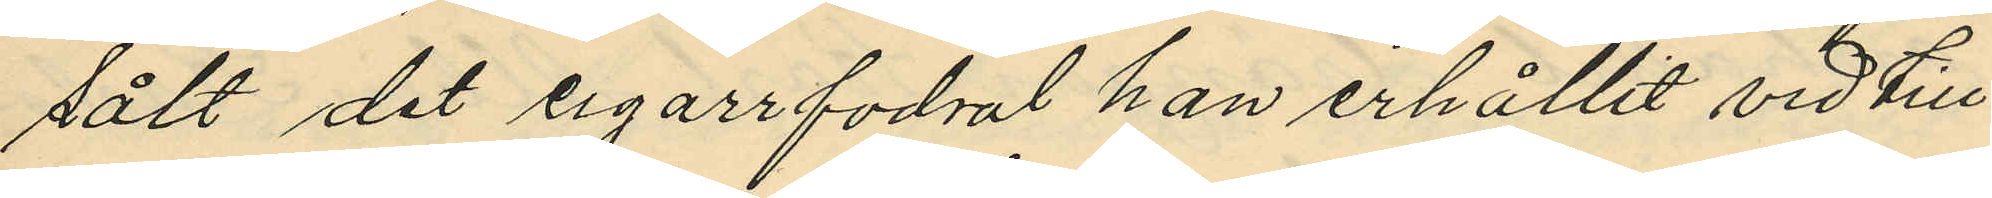sålt det cigarrfodral han erhållit vid till¬
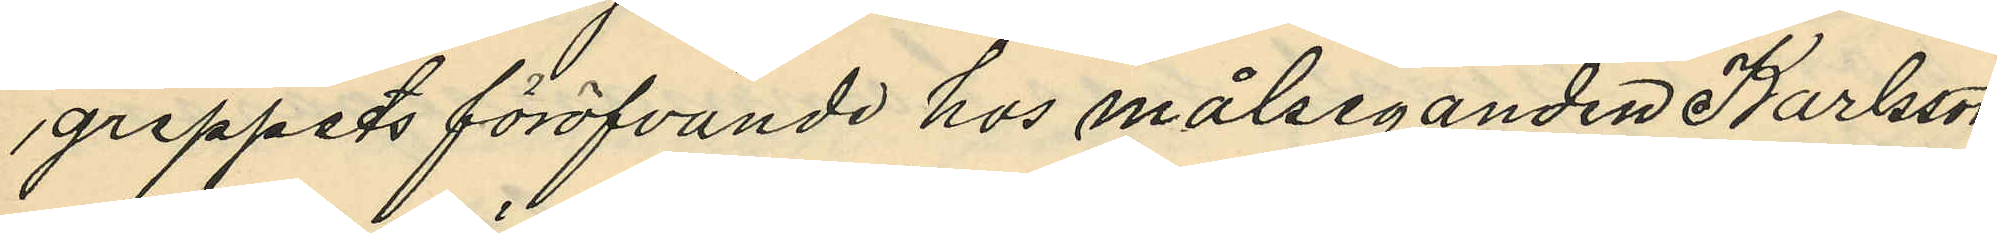greppets föröfvande hos målseganden Karlsson
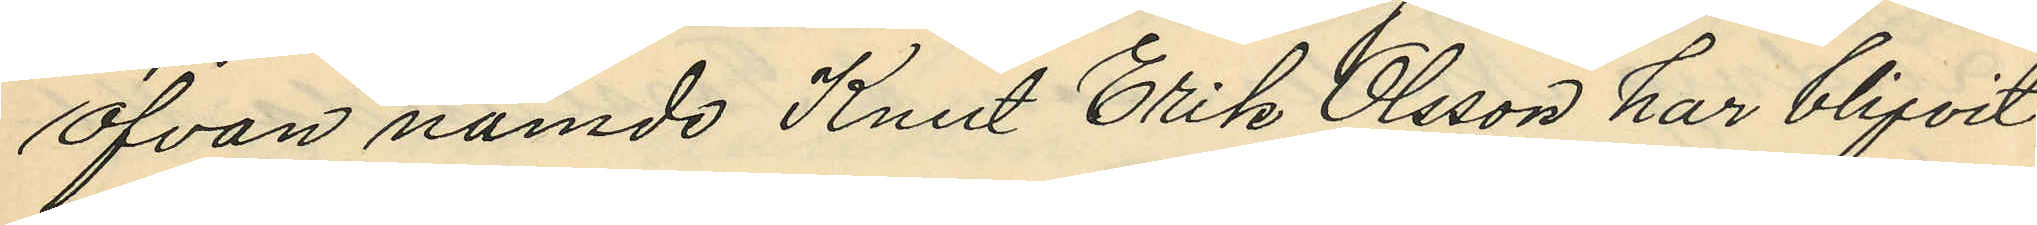ofvan nämde Knut Erik Olsson har blifvit
